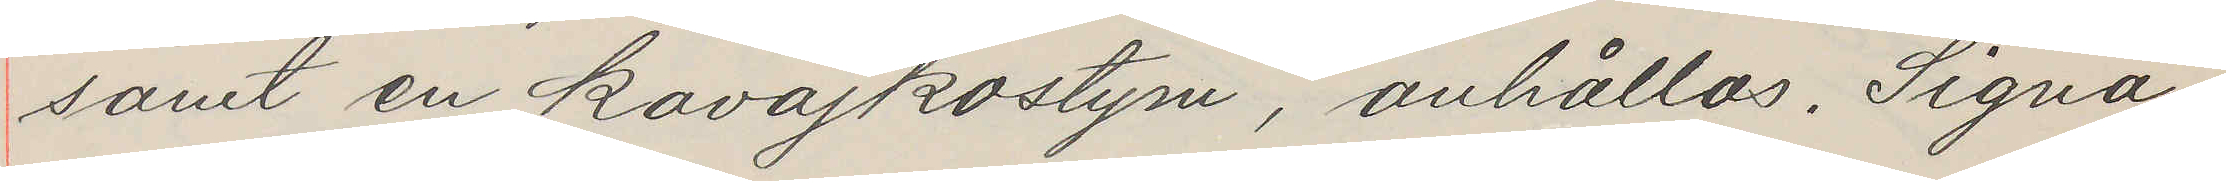samt en kavajkostym, anhållas. Signa¬
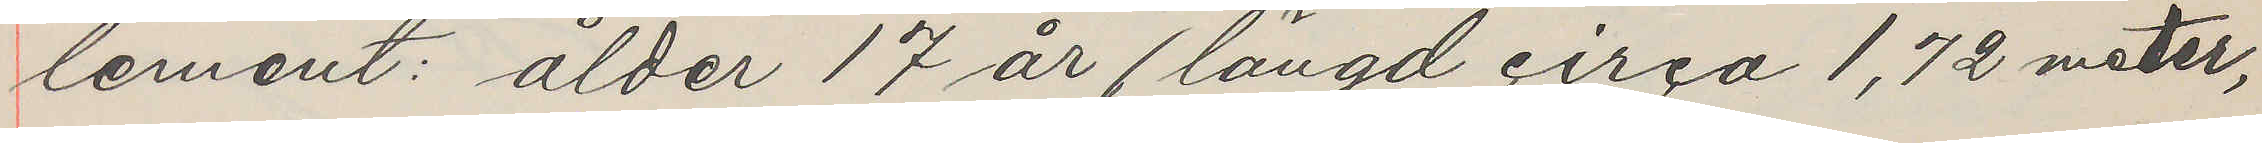lement: ålder 17 år (längd circa 1,72 meter,
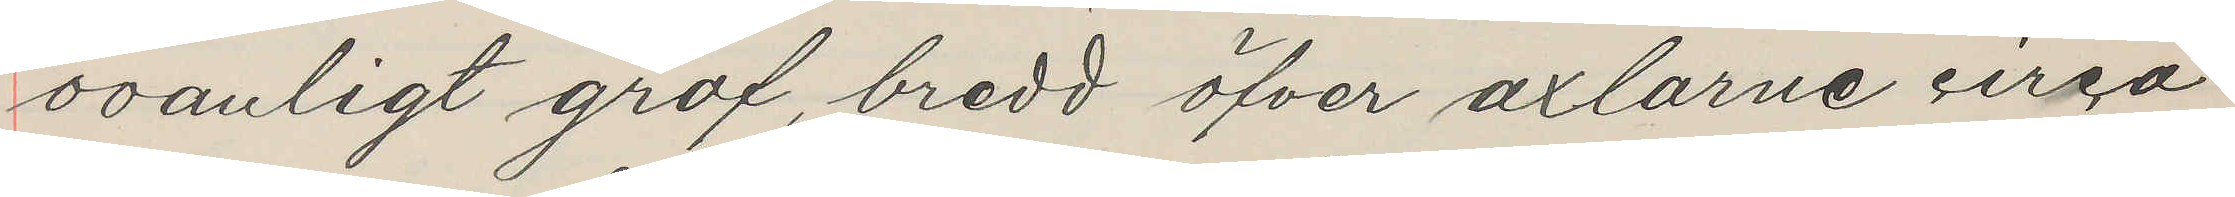ovanligt grof, bredd öfver axlarne circa
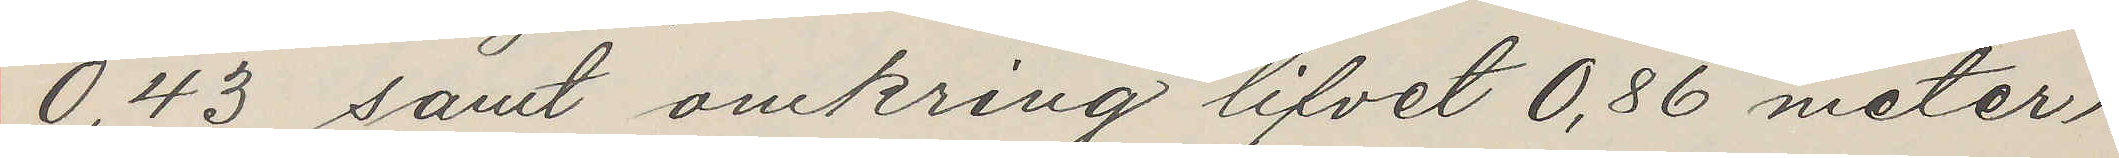0,43 samt omkring lifvet 0,86 meter)
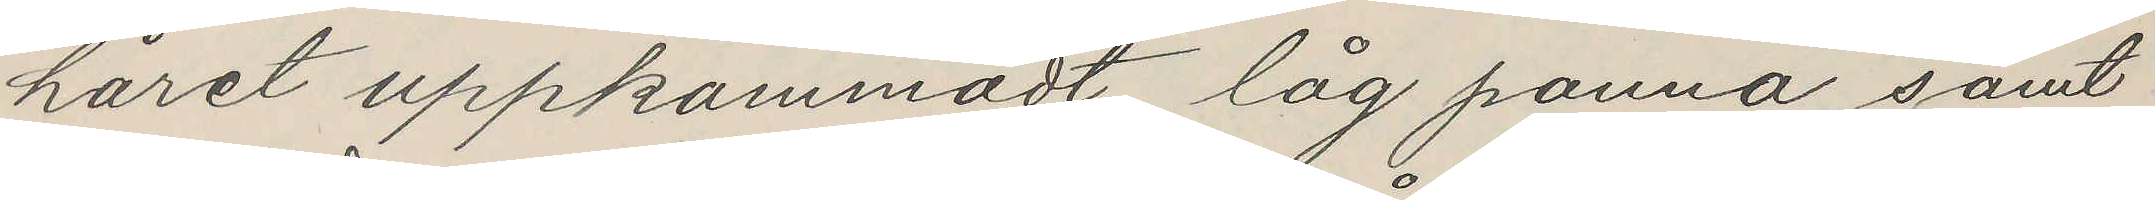håret uppkammadt, låg panna samt
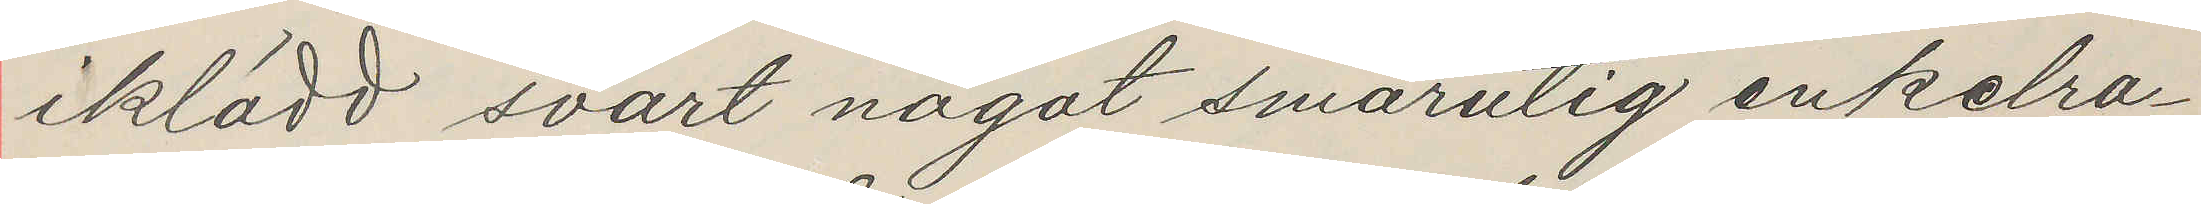iklädd svart något smårutig enkelra¬
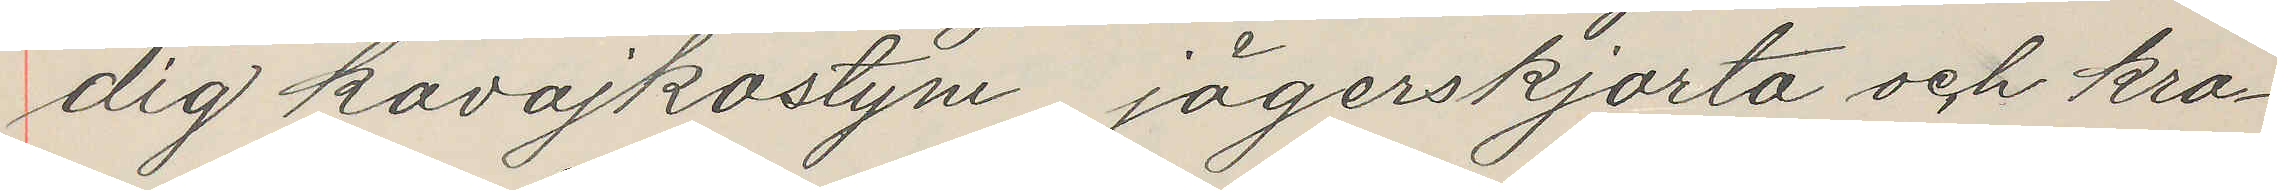dig kavajkostym, jägerskjorta och kra¬
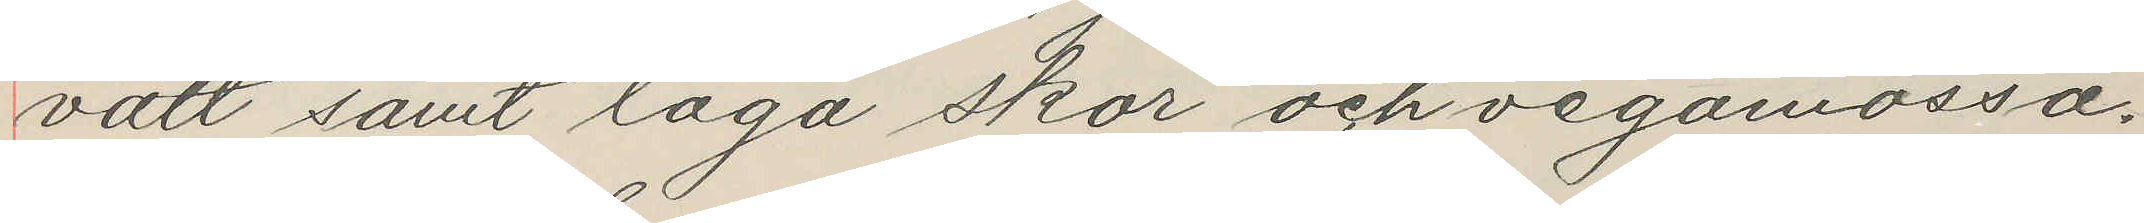vatt samt låga skor och vegamössa.
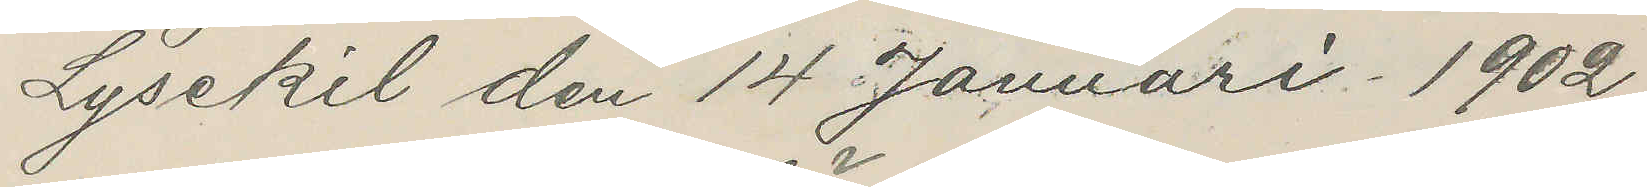Lysekil den 14 Januari 1902
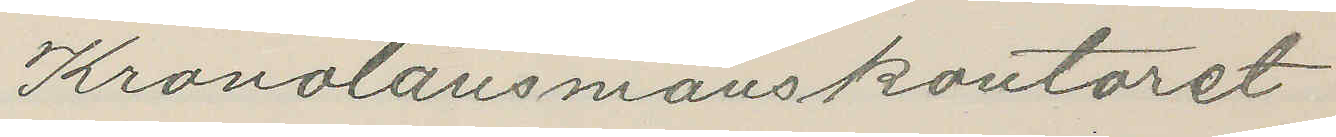Kronolänsmanskontoret
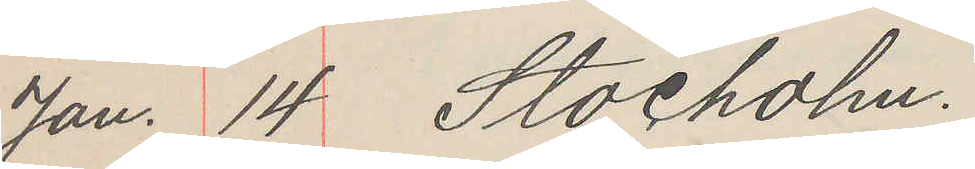Jan. 14 Stocholm.
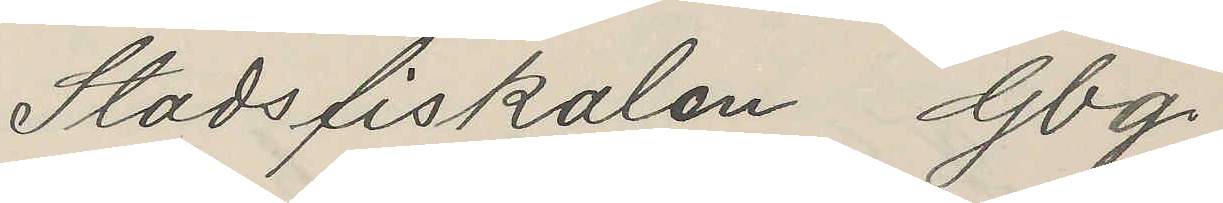Stadsfiskalen Gbg.
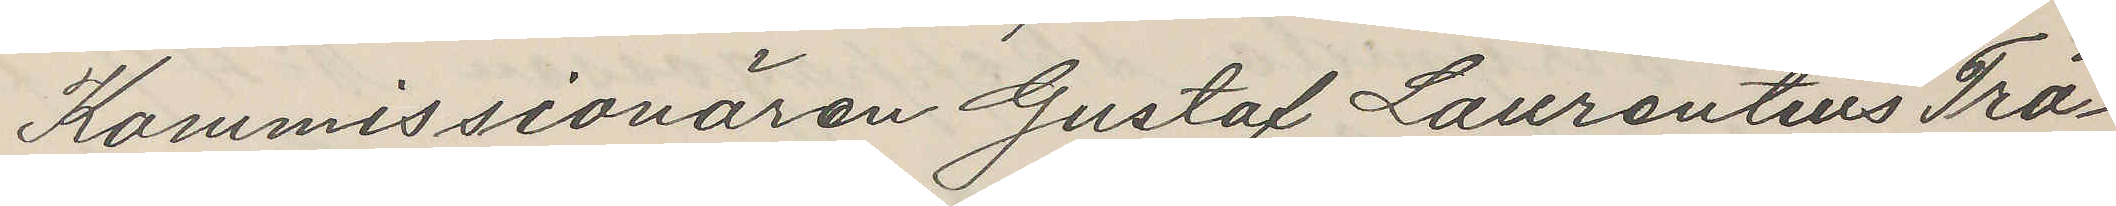Kommissionären Gustaf Laurentius Trä¬
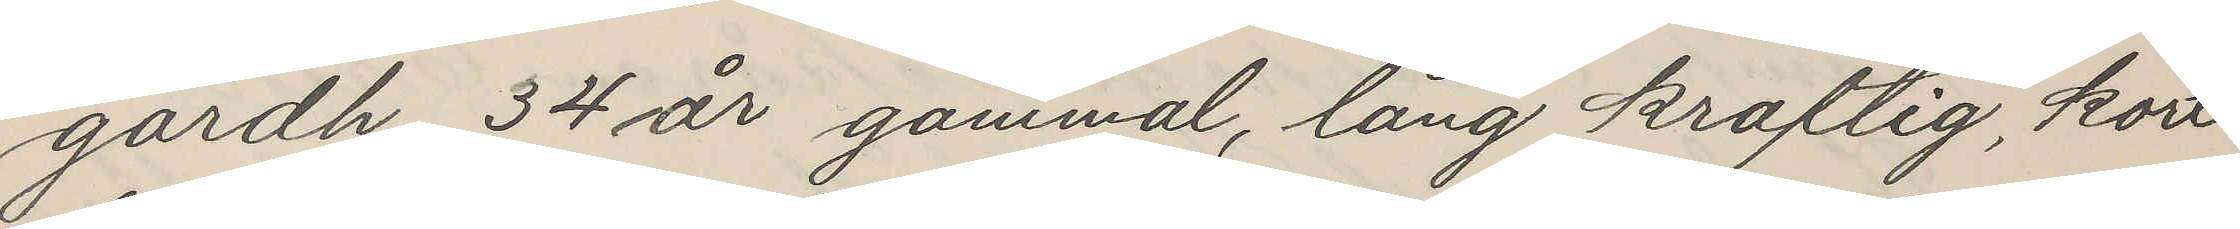gårdh, 34 år gammal, lång kraftig, kort
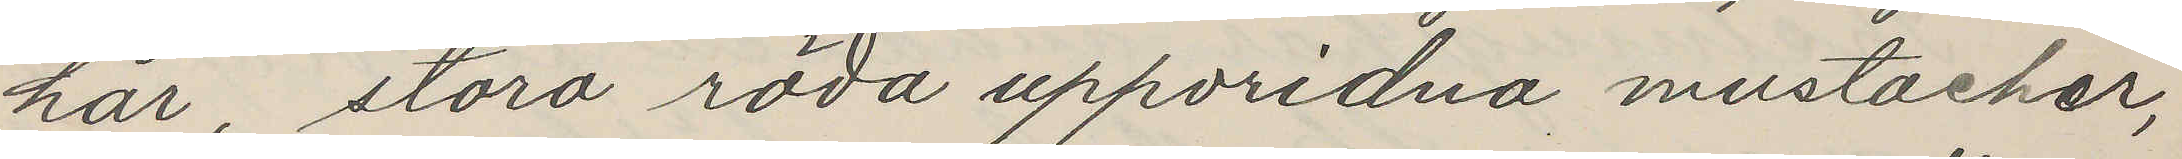hår, stora röda uppvridna mustacher,
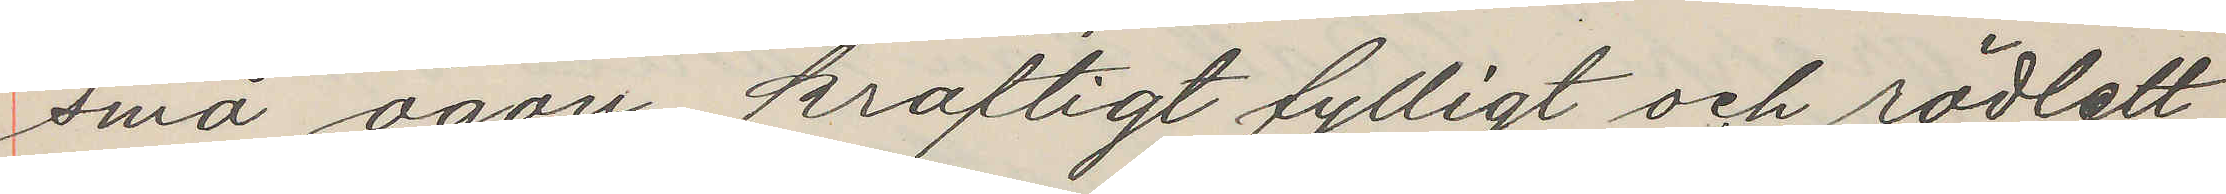små ögon, kraftigt fylligt och rödlett
